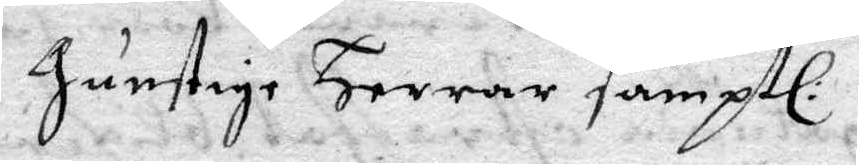Gunstige Herrar samptl:
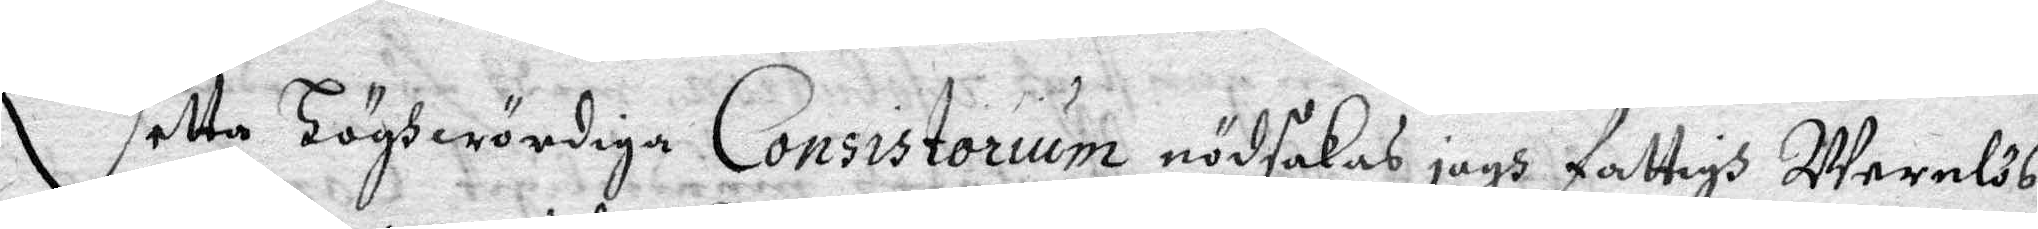Detta Höghwördiga Consistorium nödsakas jagh fattigh Wernlös
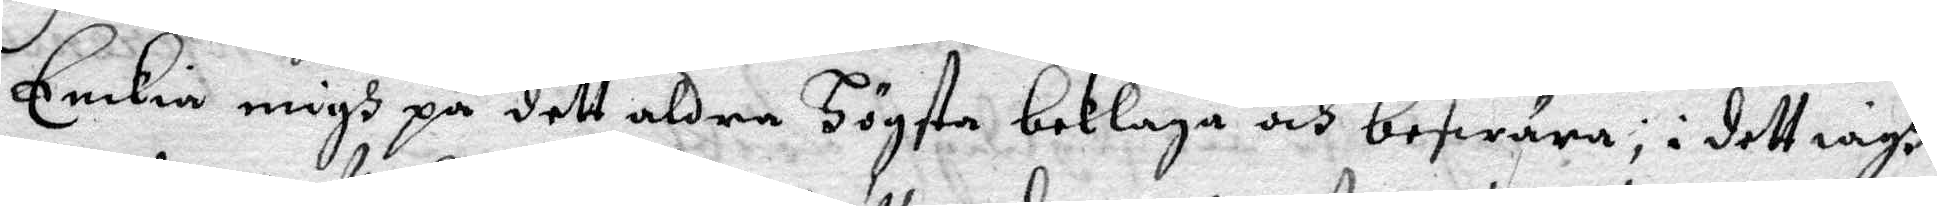Enkia migh på dett aldre Högsta beklaga och beswära; i dett iagh
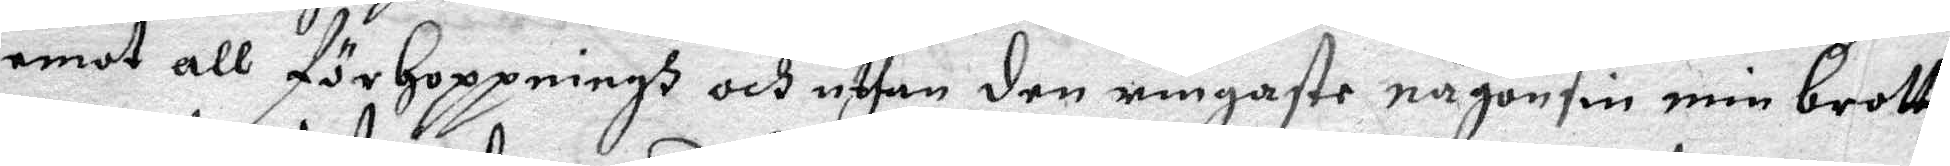emot all förhoppningh och uthan den enigaste någonsin min brott
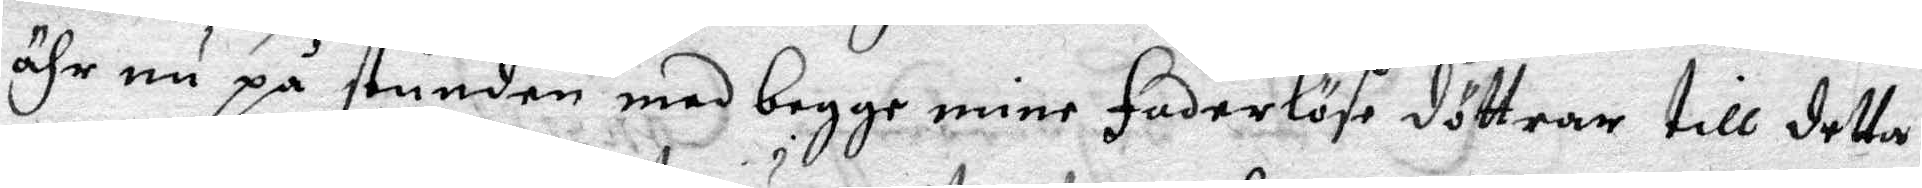ähr nu på stunden med begge mine faderlöse döttrar till detta
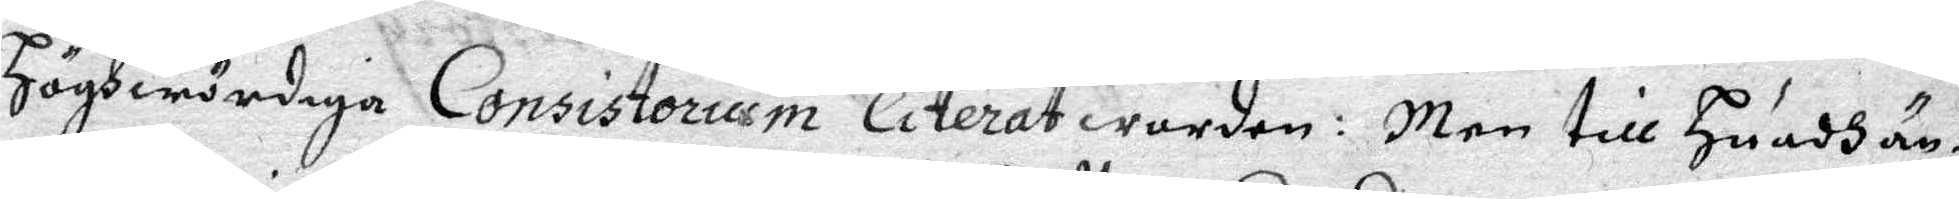Höghwördiga Consistorium citerat worden: Men till Guudh än¬
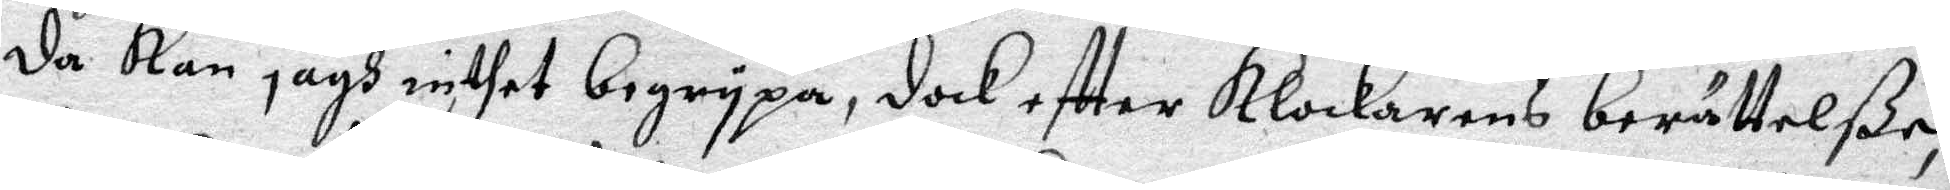da Kan jagh inthet begrypa, dock effter Klockarens berättelße,
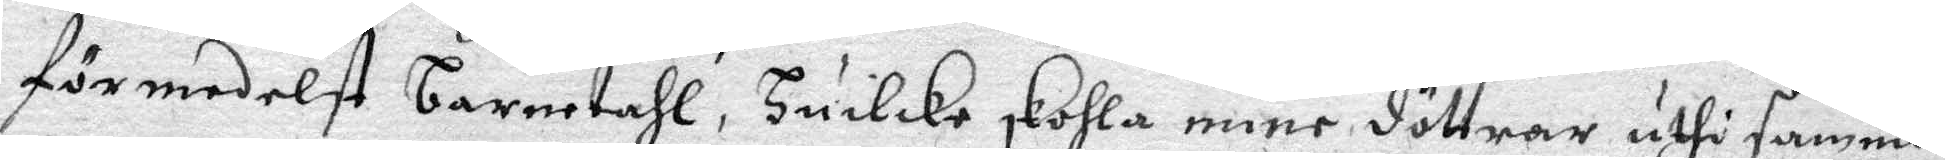förmedelst barnetahl, Huilcke skohla mine döttrar uthi samma
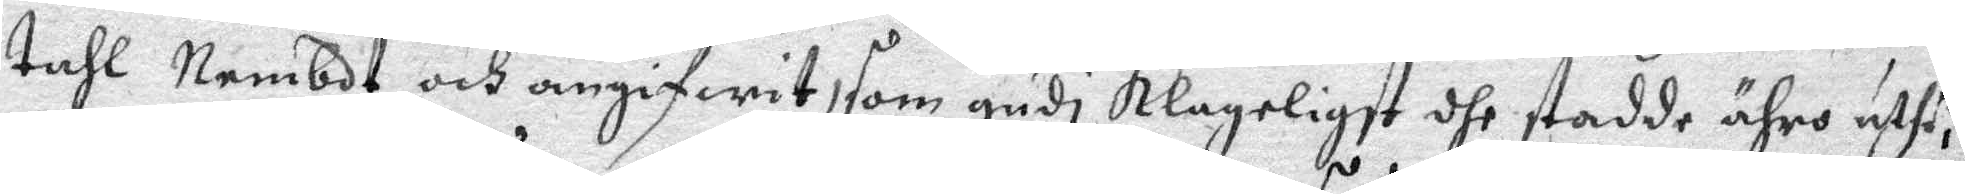tahl Nembdt och angifwit som gudi Klageligst dhe stadde ähro uthi,
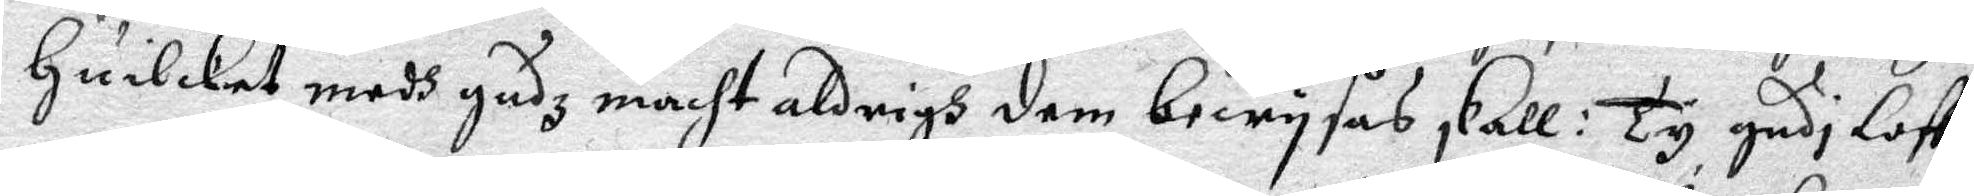Huilket medh gudz macht aldrigh dem bewysas skall: Ty gudi lost
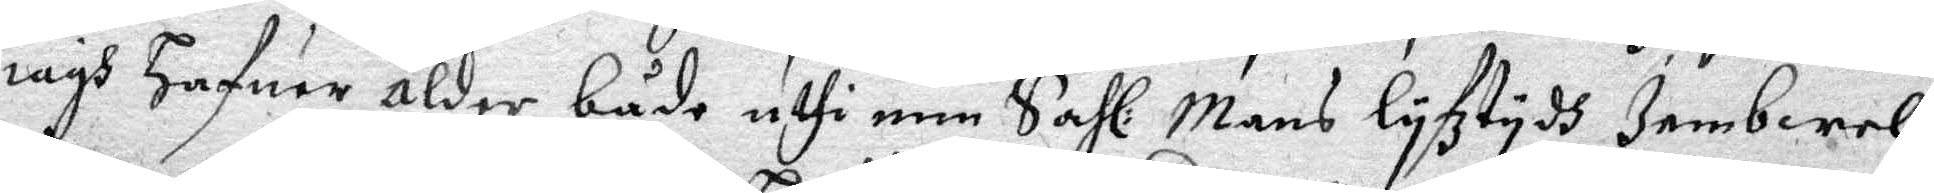iagh hafuer ålder både uthi min Sahl: Mans lyfztydh Jembwel
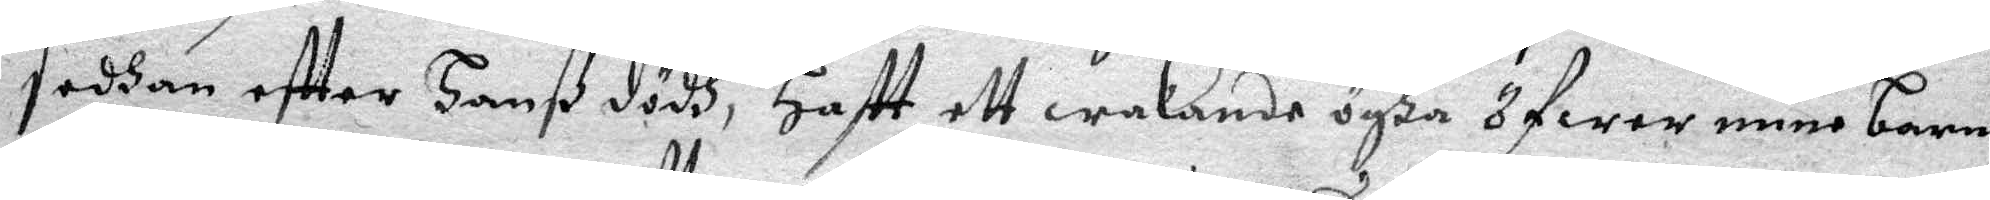sedhan effter hanß dödh, Haftt ett wakande ögha öfwer mine barn
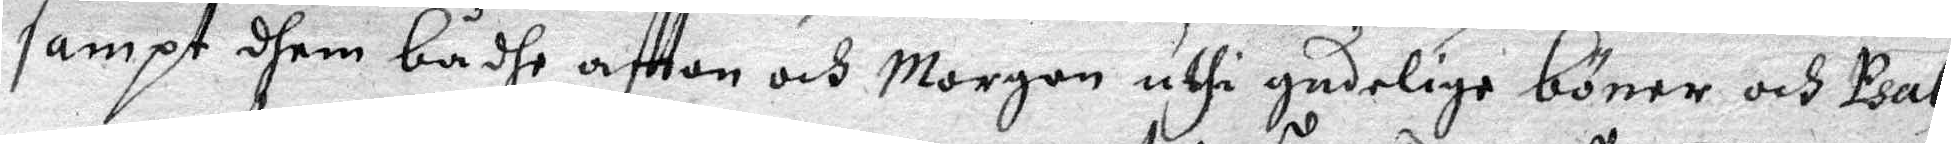sampt dhem bådhe afton och Morgon uthi gudelige böner och Psal¬
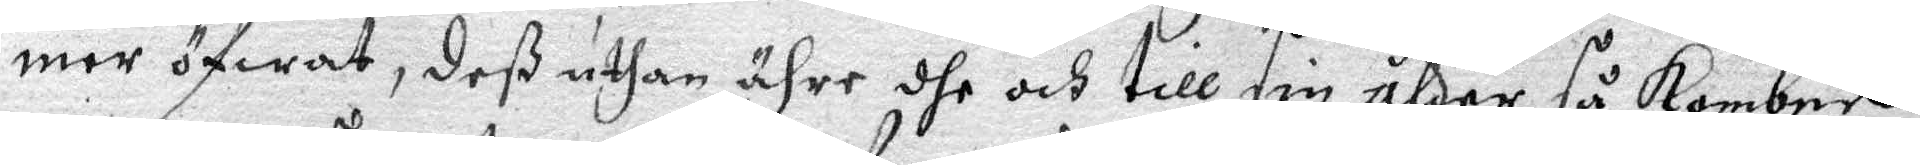mer öfwat, deß uthan ähre dhe och till sin ålder så komben
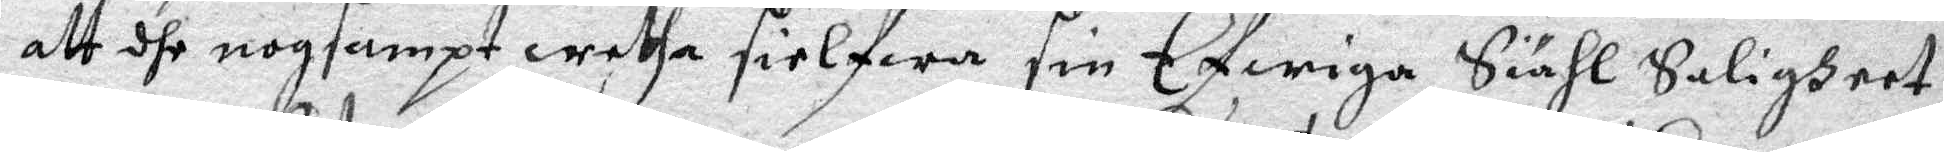att dhe nogsampt wetha sielfwa sin Efwiga Siähl Saligheet
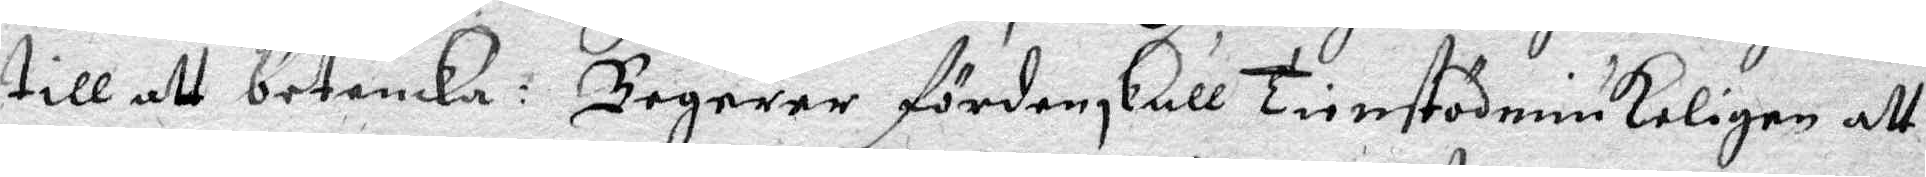till att betanka : Begerer förden skull Tienstödmiukeligen att
